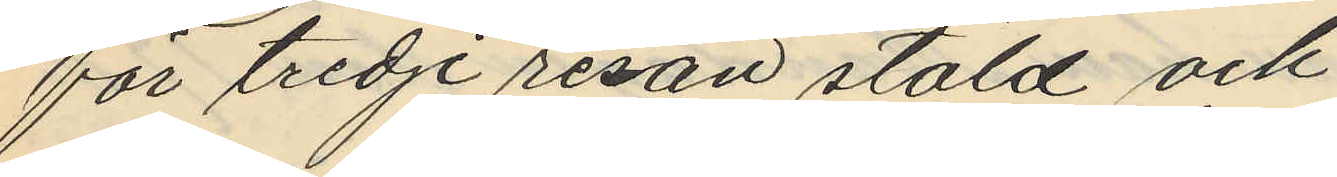för tredje resan stöld och
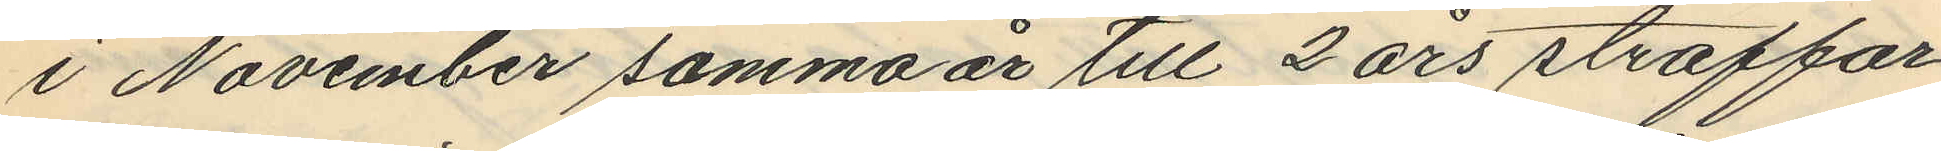i November samma år till 2 års straffar¬
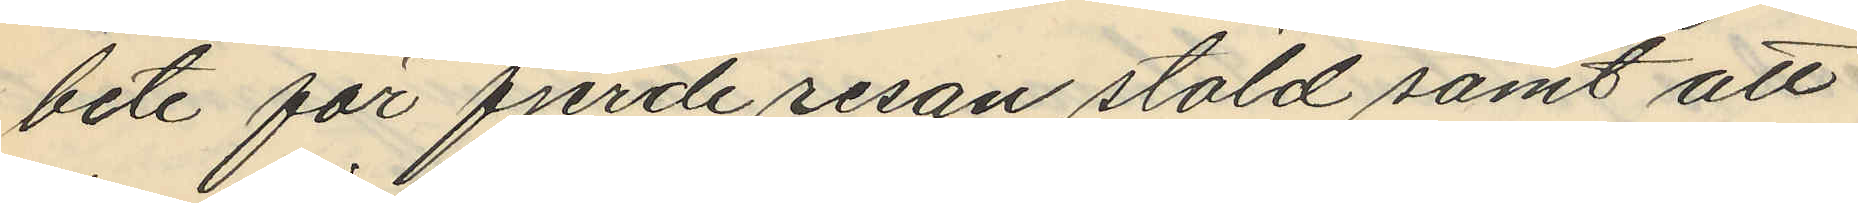bete för fjerde resan stöld samt att
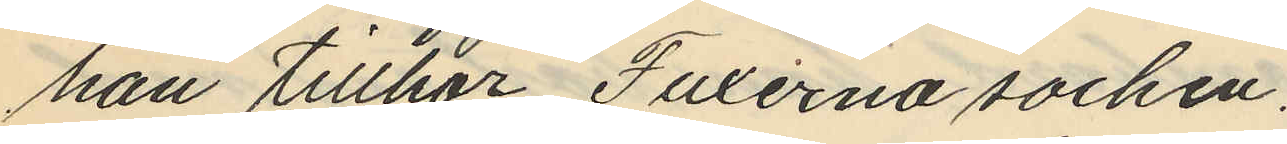han tillhör Fuxerna socken.
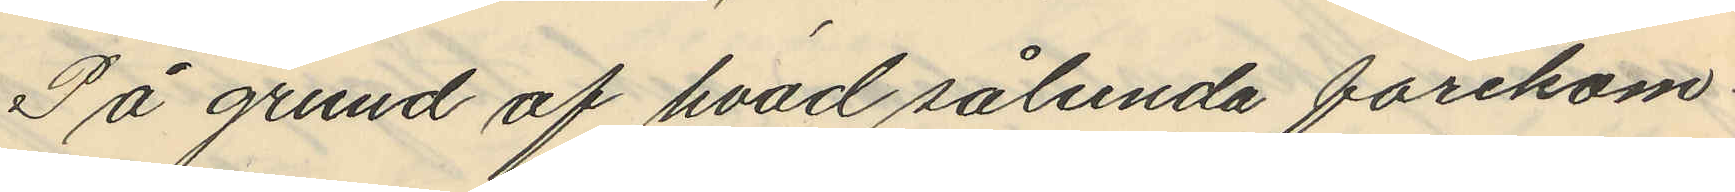På grund af hvad sålunda förekom¬
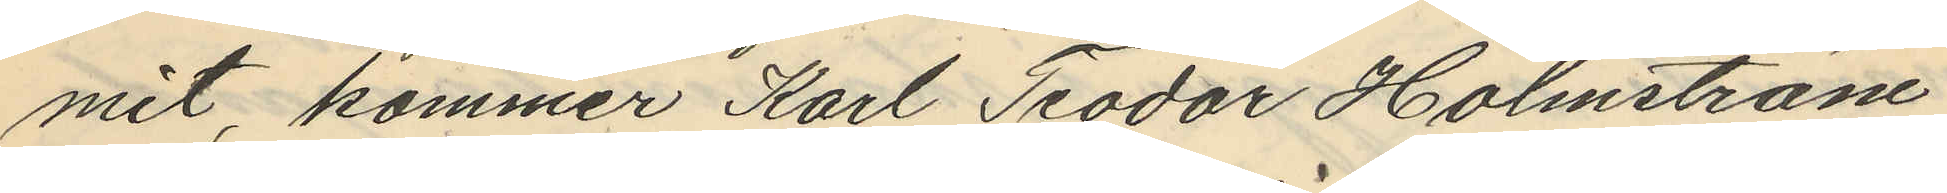mit, kommer Karl Teodor Holmström
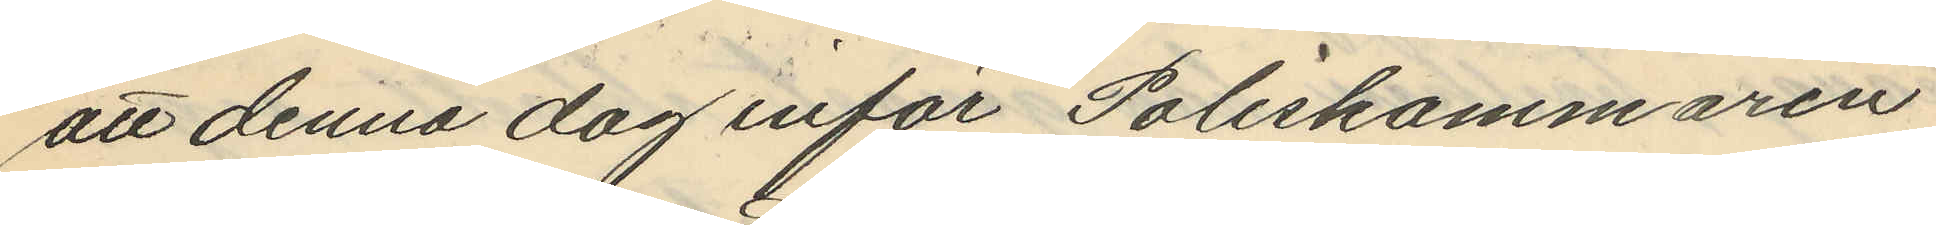att denna dag inför Poliskammaren
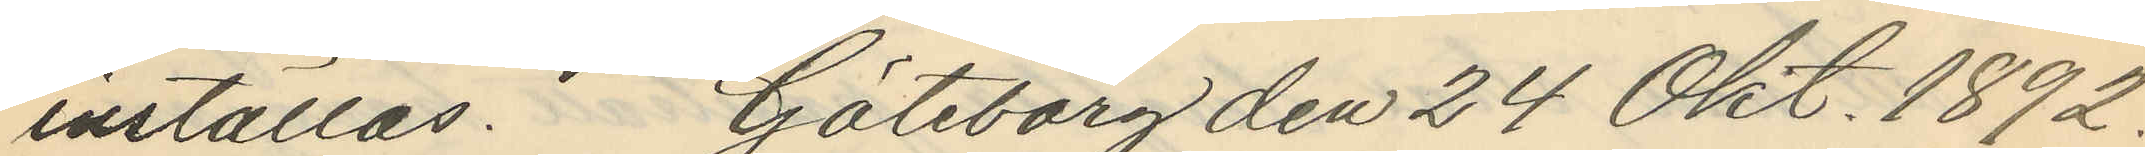inställas. Göteborg den 24 Okt. 1892.
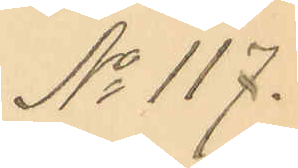No 117.
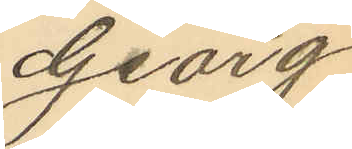Georg
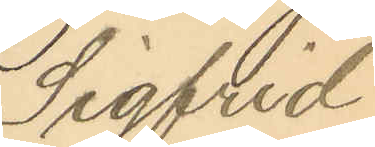Sigfrid
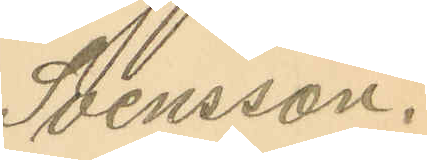Svensson.
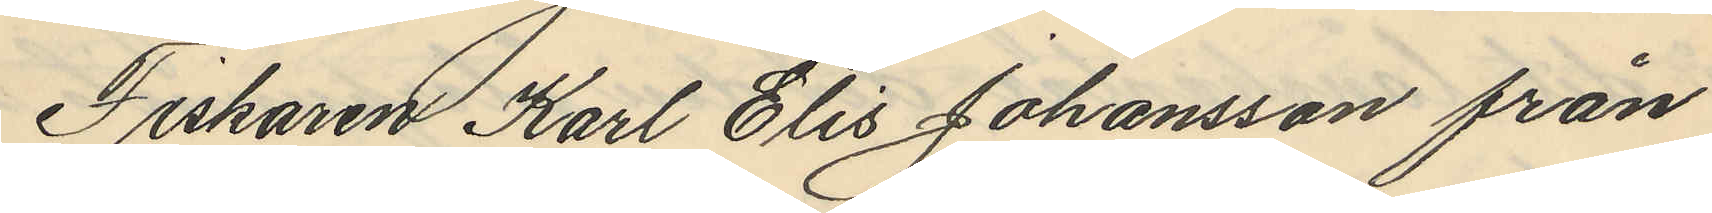Fiskaren Karl Elis Johansson från
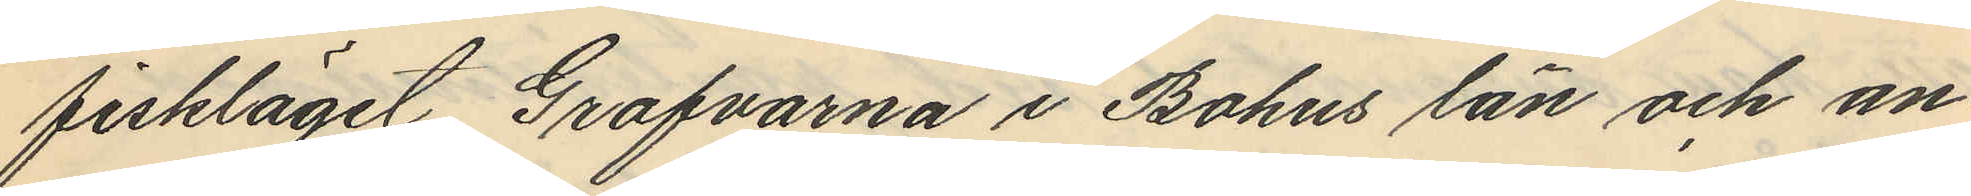fiskläget Grafvarna i Bohus län och an¬
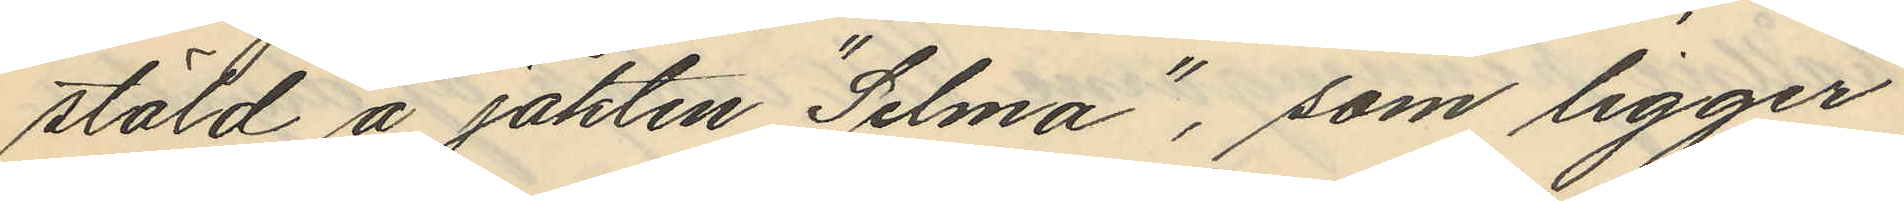stäld å jakten "Selma", som ligger
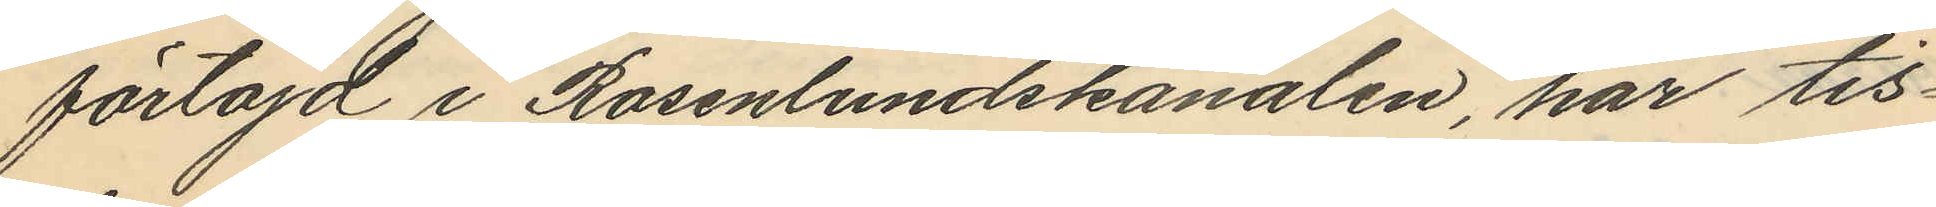förtöjd i Rosenlundskanalen, har tis¬
